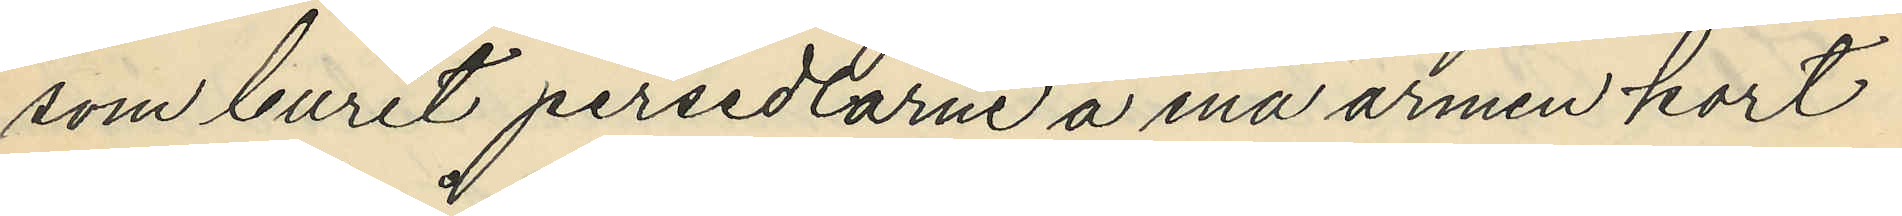som burit persedlarne å ena armen kort
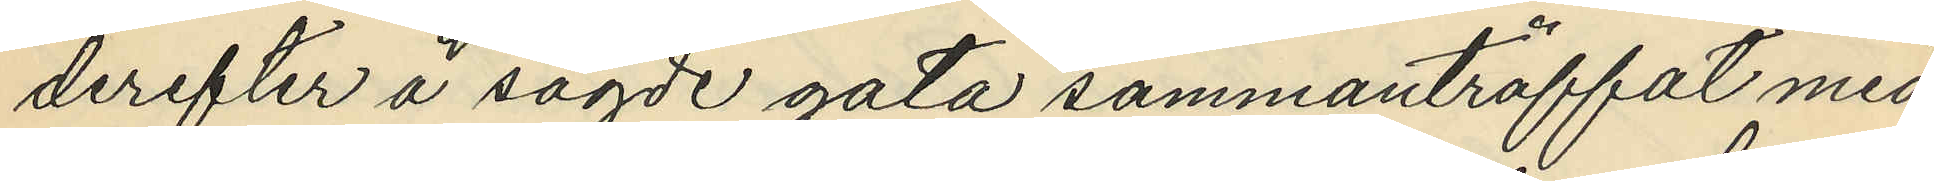derefter å sagde gata sammanträffat med
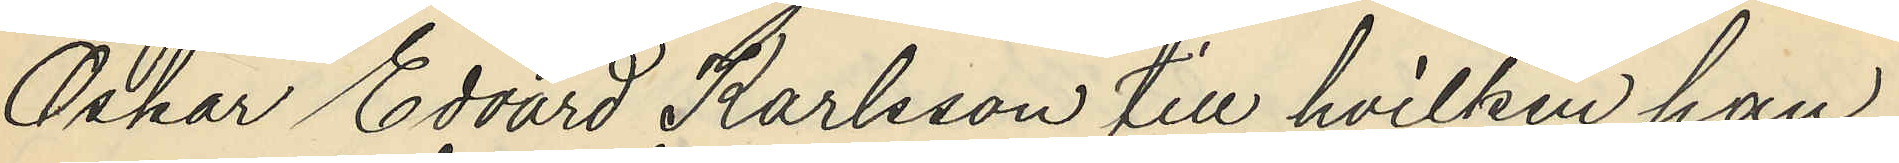Oskar Edvard Karlsson till hvilken han
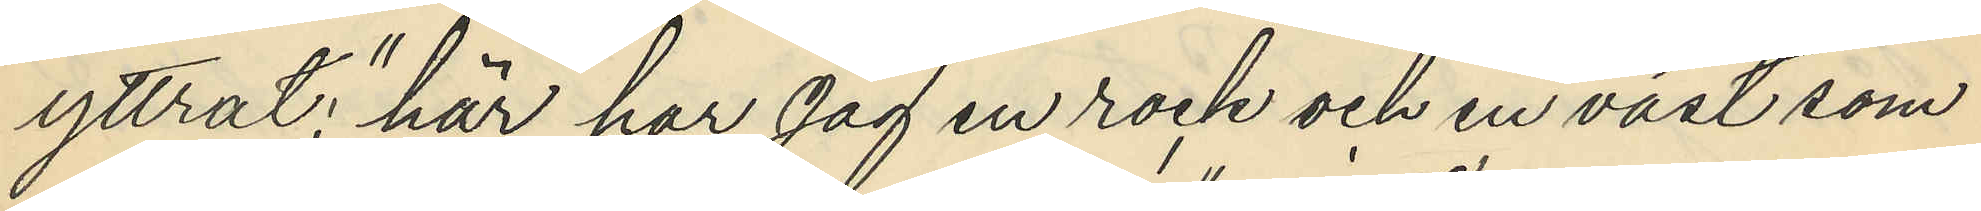yttrat: "här har jag en rock och en väst som
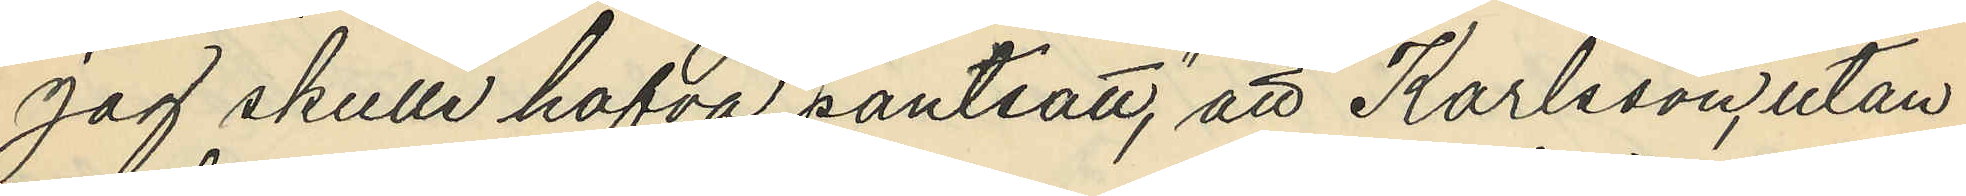jag skulle hafva pantsatt," att Karlsson utan
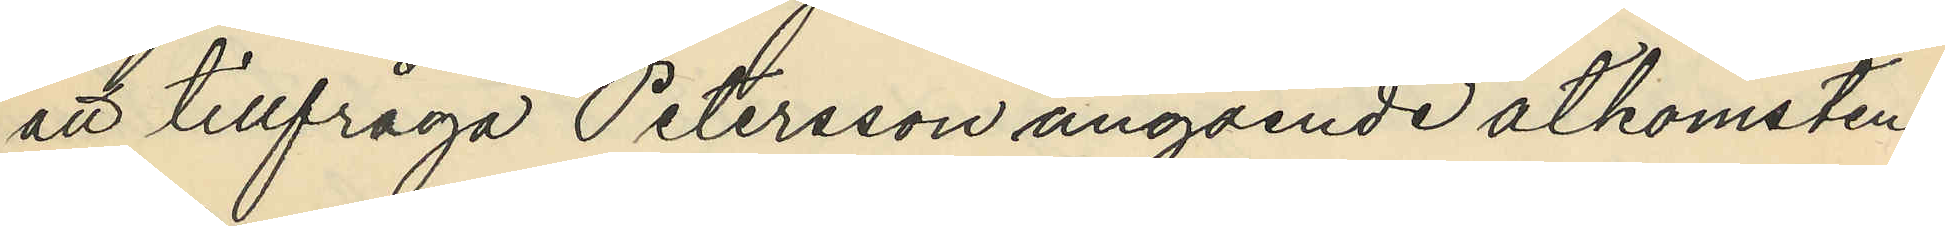att tillfråga Petersson angående åtkomsten
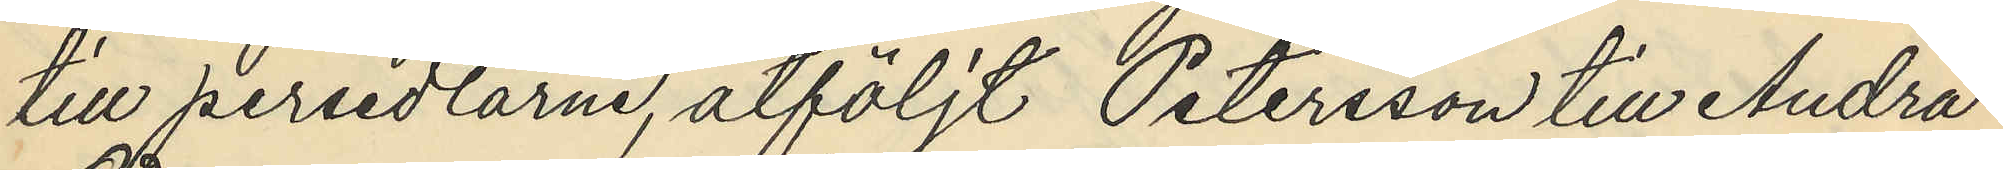till persedlarne, åtföljt Petersson till Andra
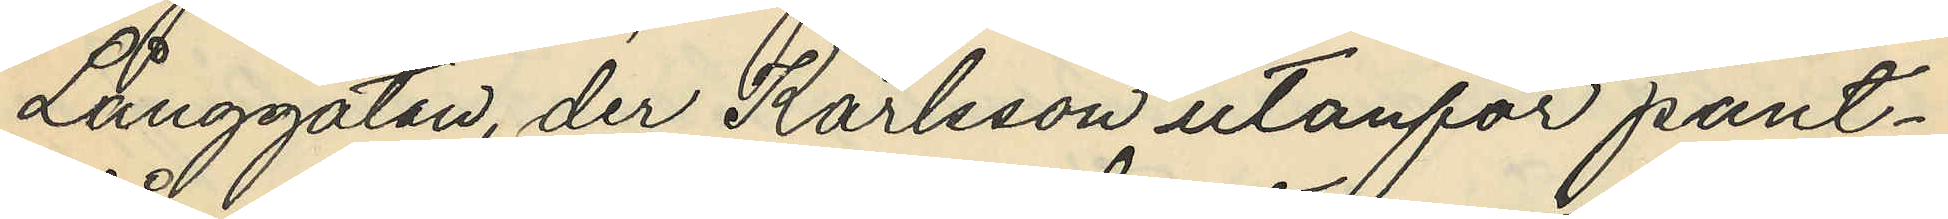Långgatan, der Karlsson utanför pant¬
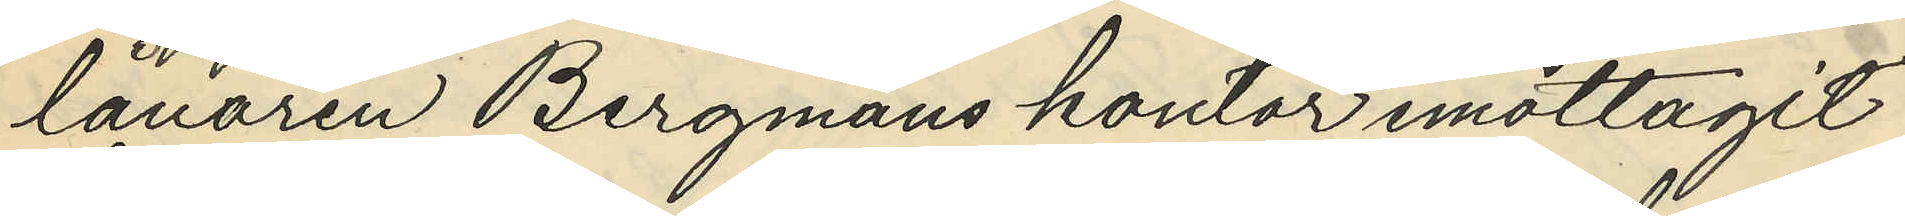lånaren Bergmans kontor emottagit
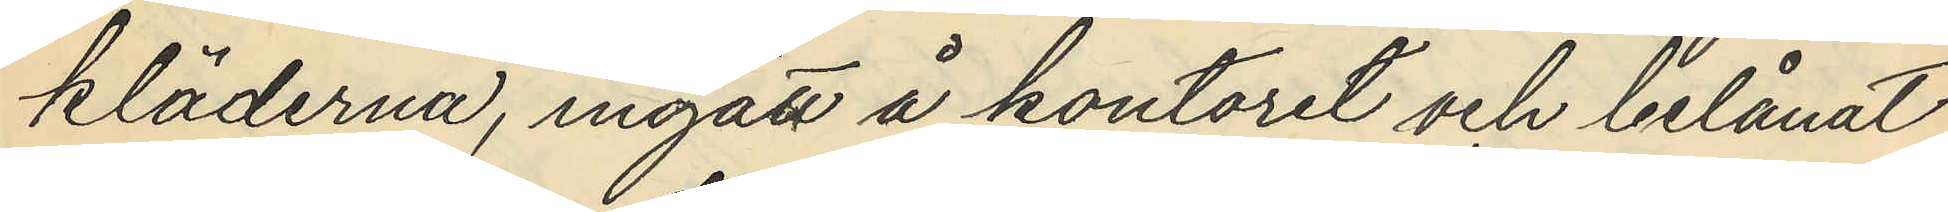kläderna, ingått å kontoret och belånat
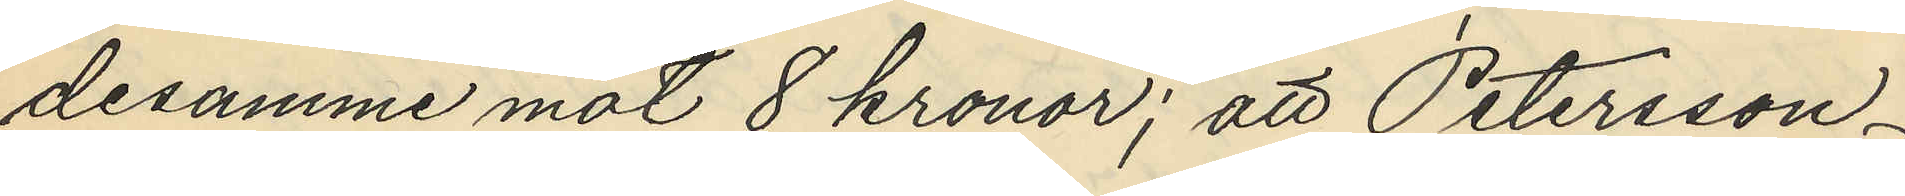desamme mot 8 kronor; att Petersson
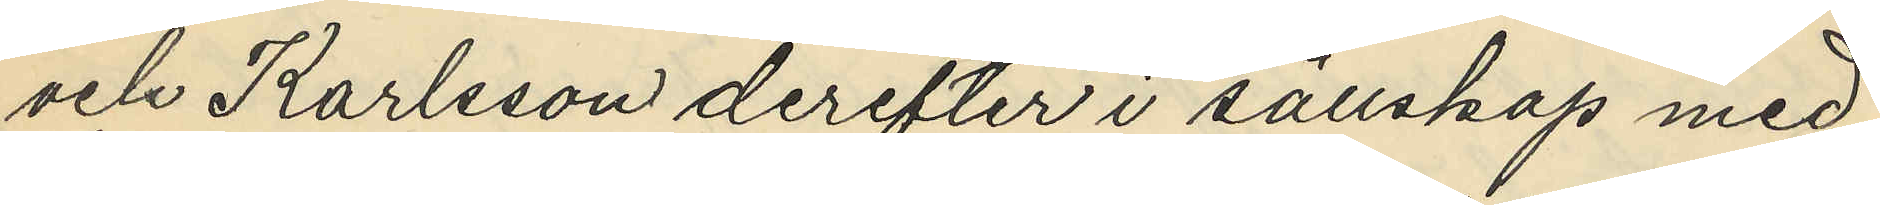och Karlsson derefter i sällskap med
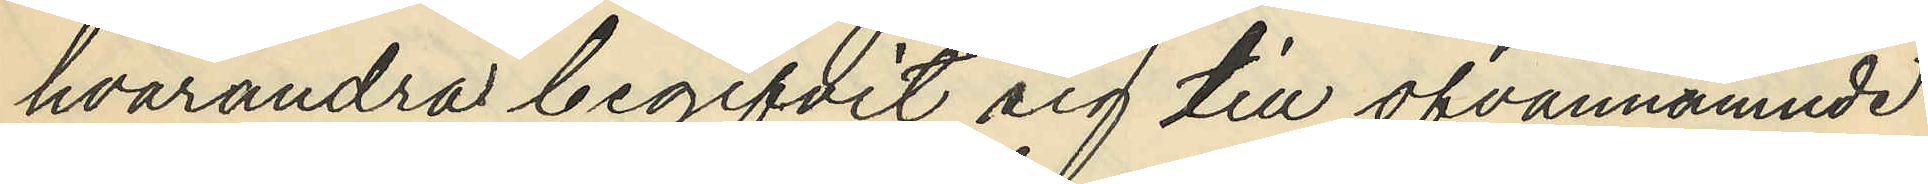hvarandra begifvit sig till ofvannämnde
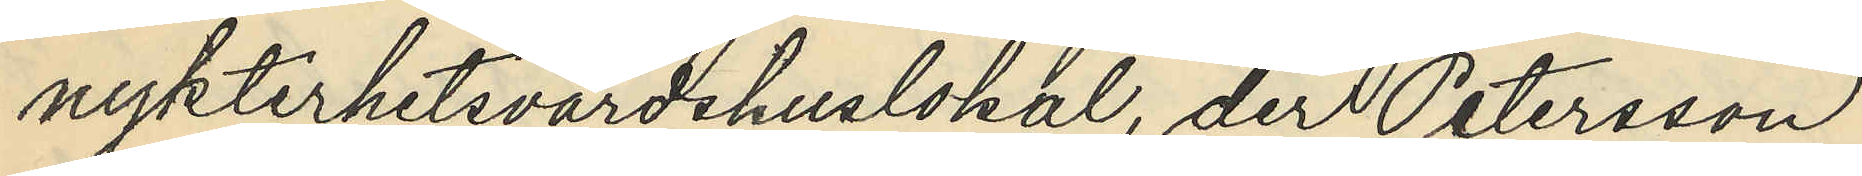nykterhetsvärdshuslokal, der Petersson
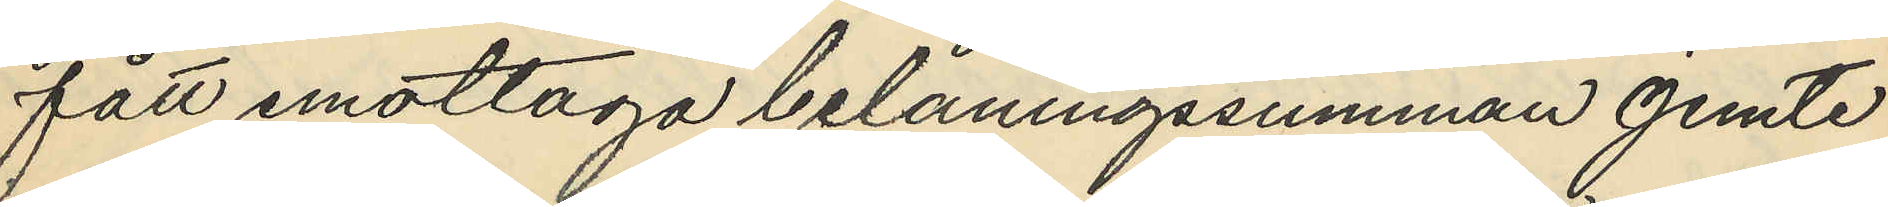fått emottaga belåningssumman jemte
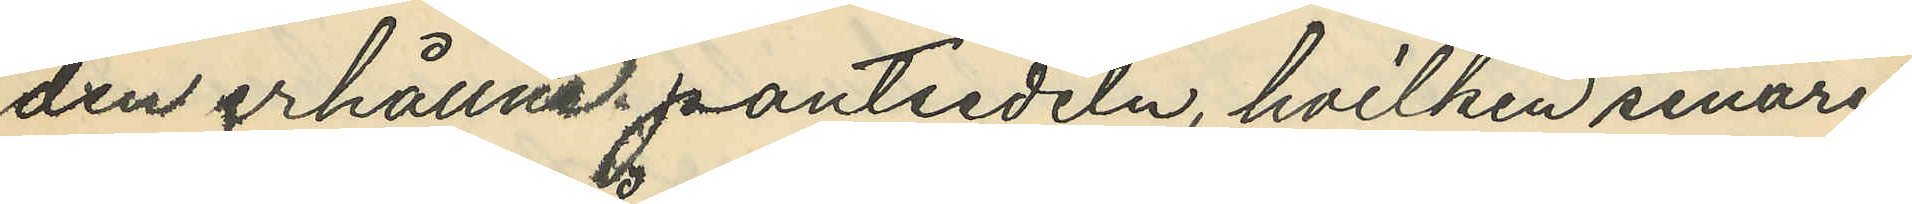den erhållne pantsedeln, hvilken senare
